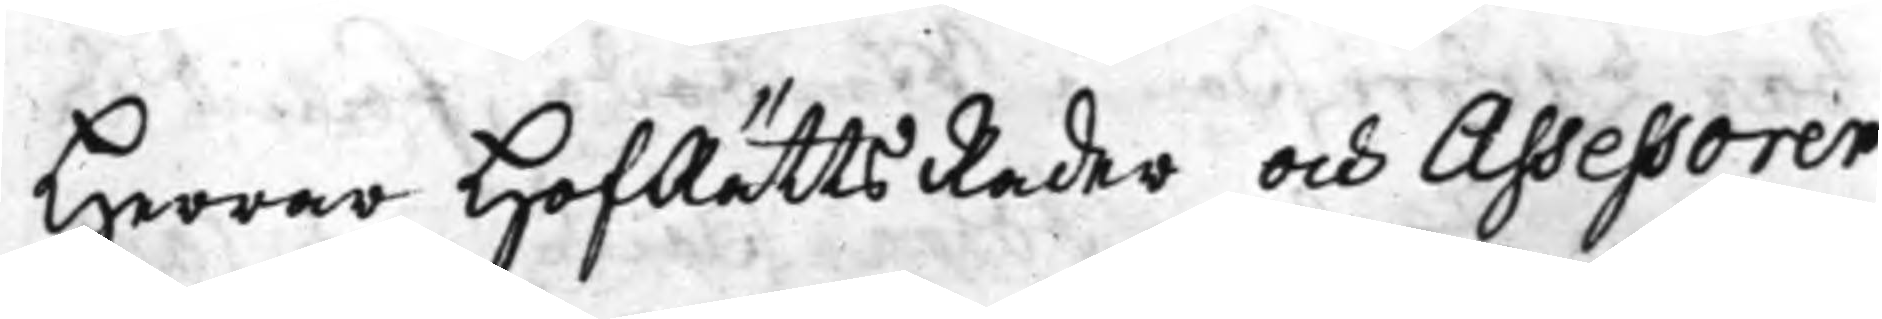Herrar HofRättsRåder och Assessorer
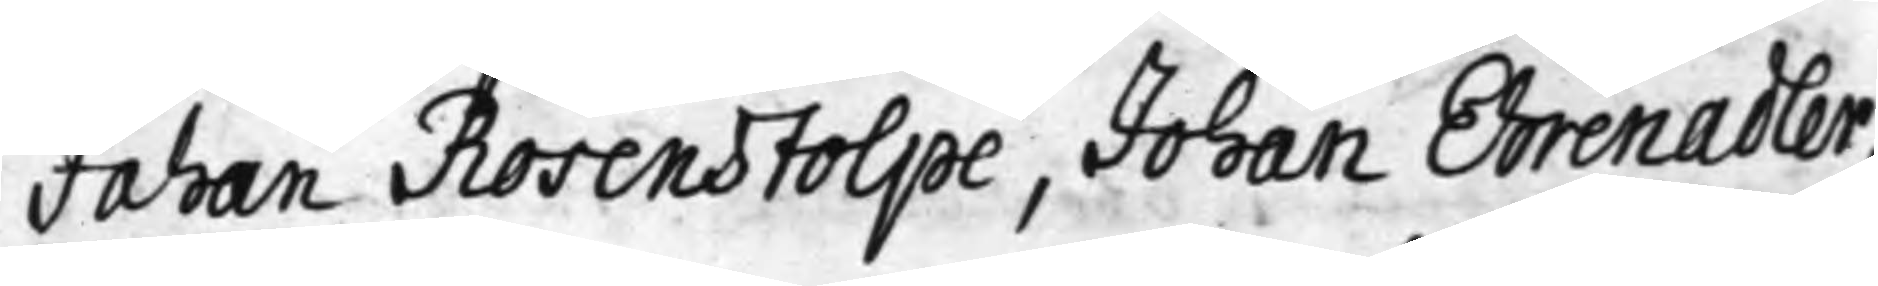Johan Rosenstolpe, Johan Ehrenadler,
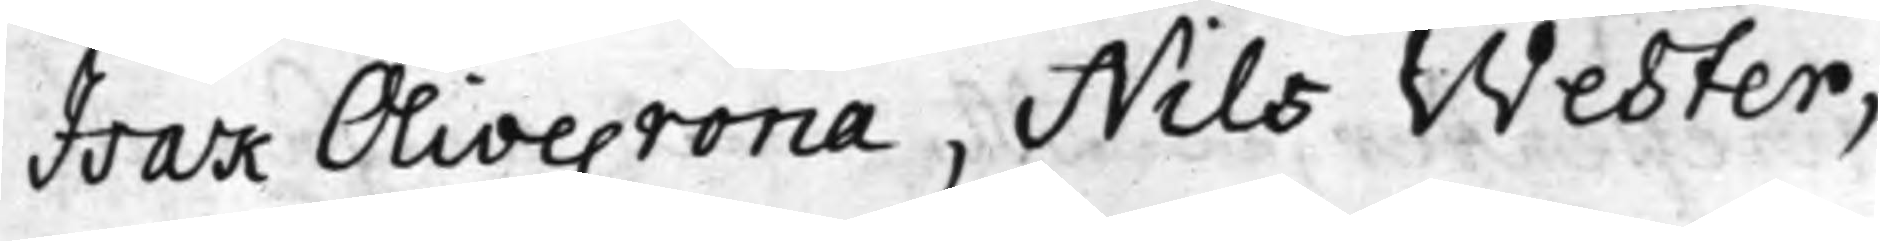Isak Olivecrona, Nils Wester,
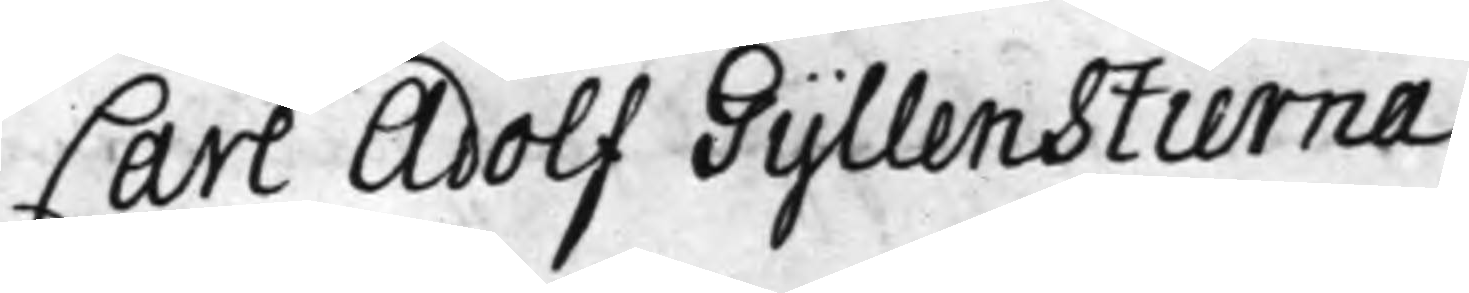Carl Adolf Gyllenstierna
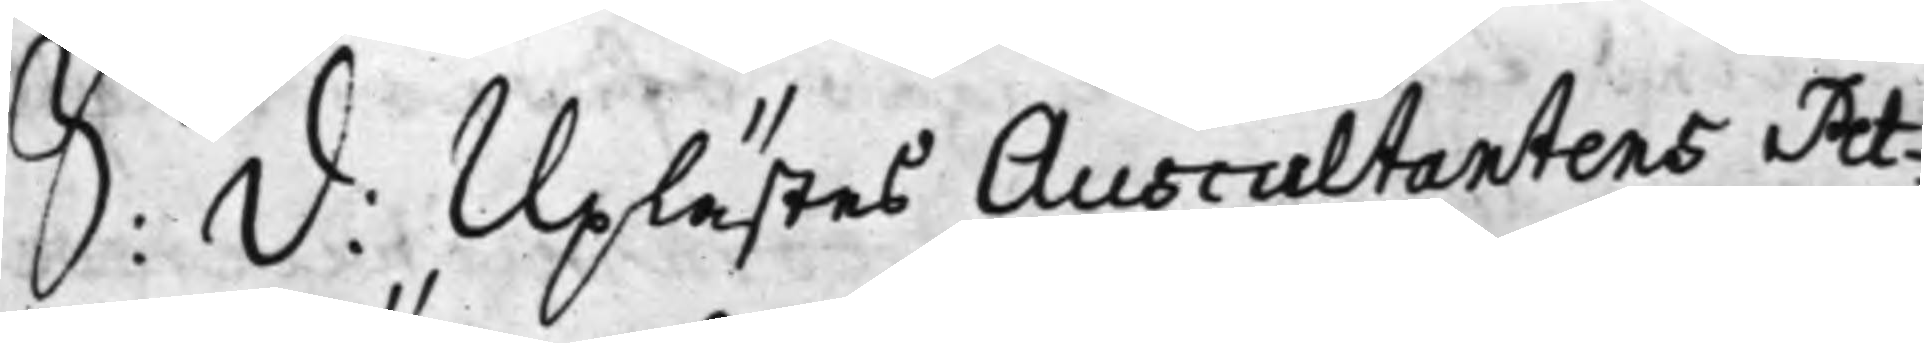S: d: Uplästes Auscultantens Pet¬
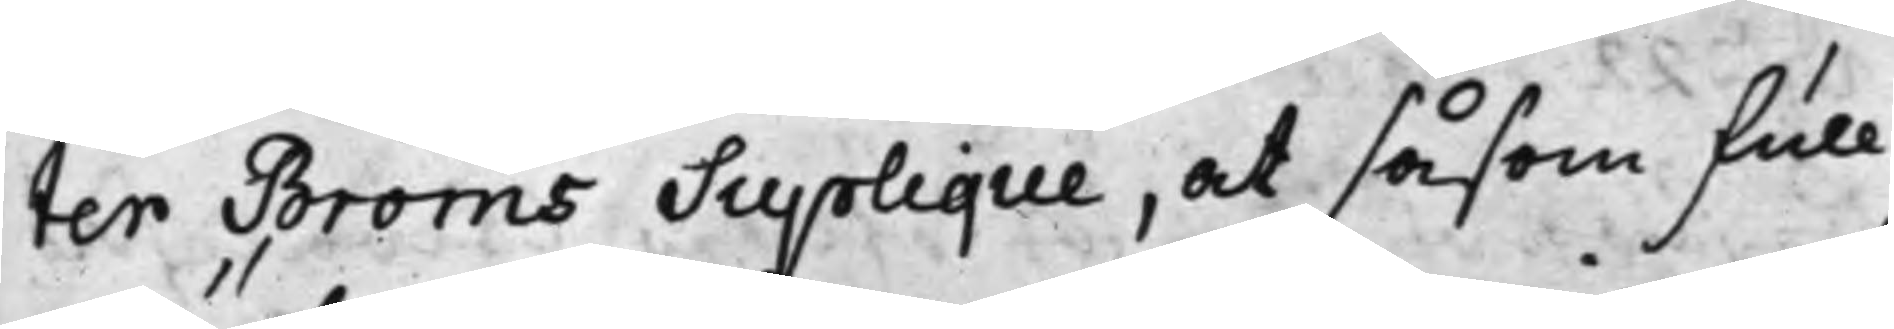ter Bröms Supplique, at såsom full¬
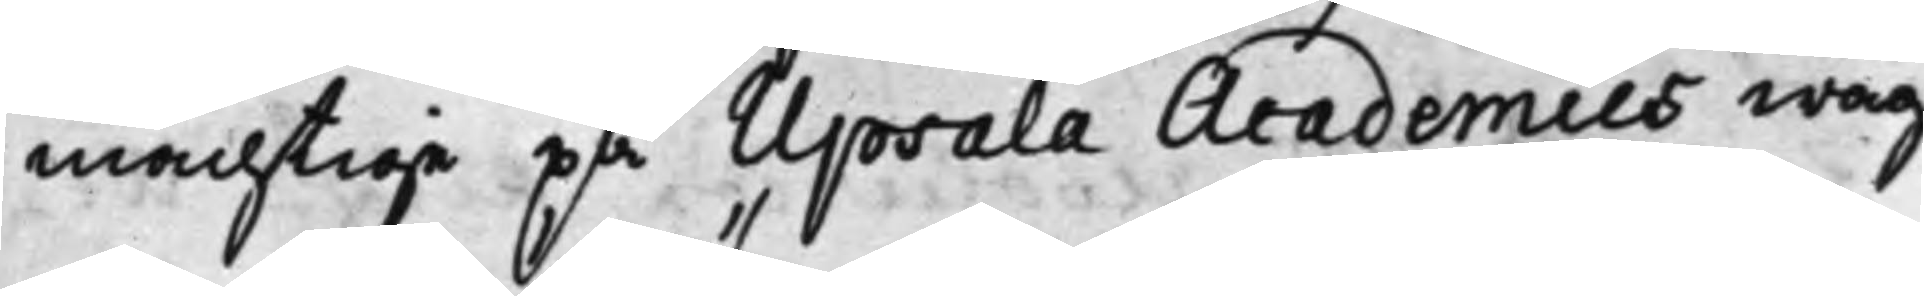mächtige på Upsala Academies wäg¬
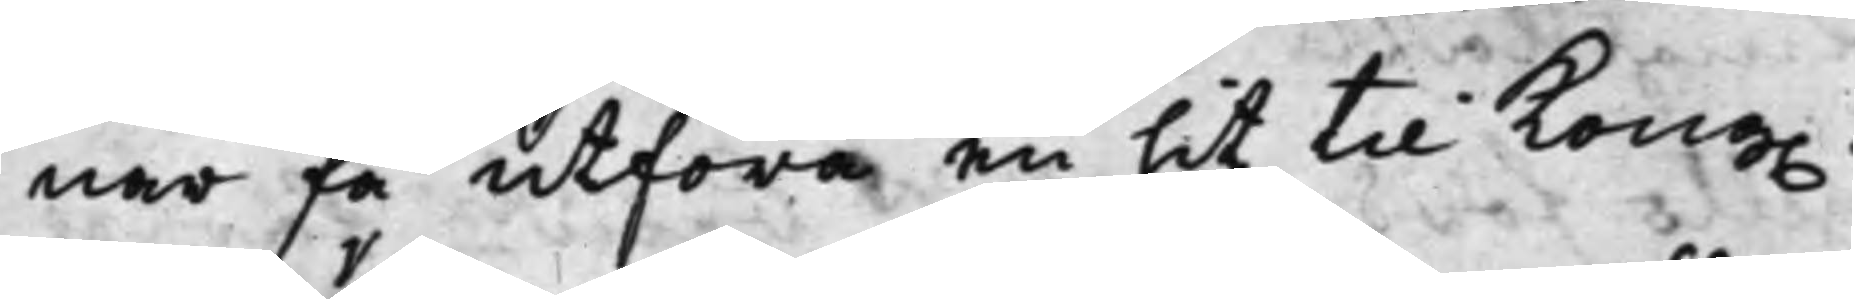nar få utföra en hit til Kong.
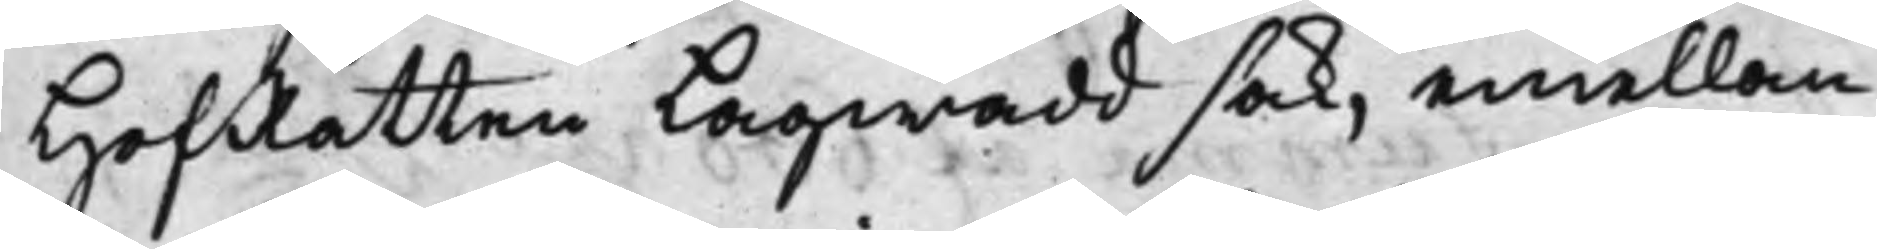HofRätten Lagwadd sak, emellan
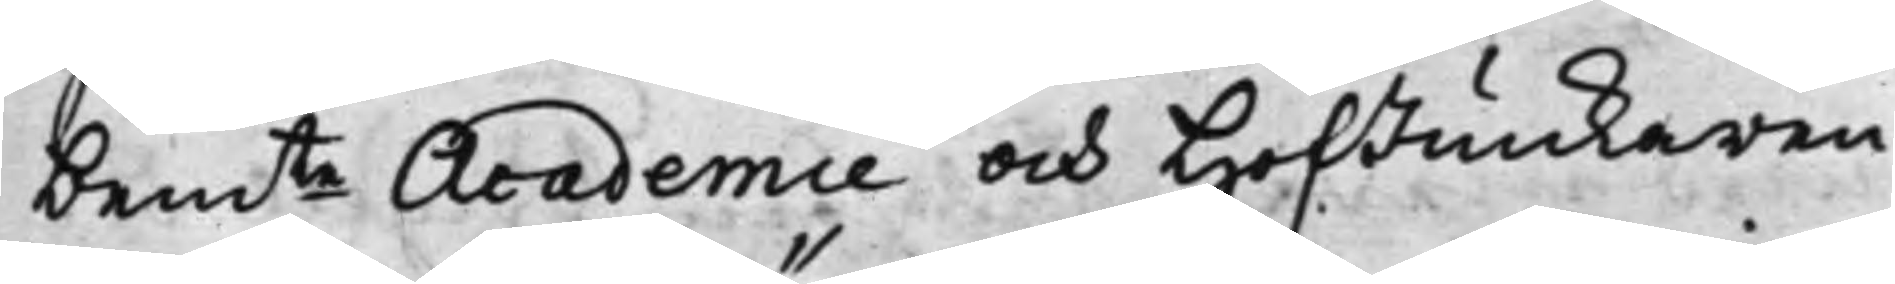bemte Academie och HofJunkaren
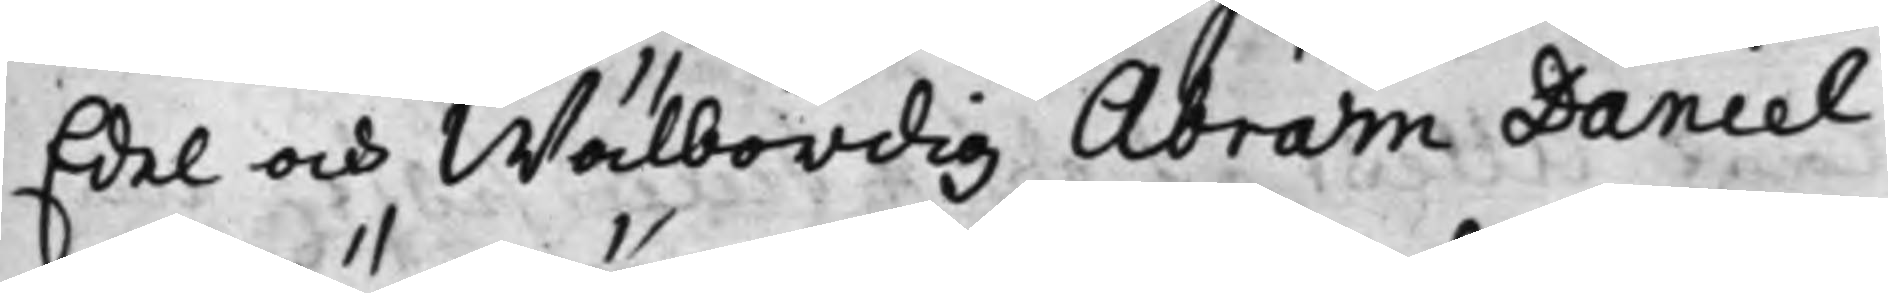Edel och Wälbördig Abram Daniel
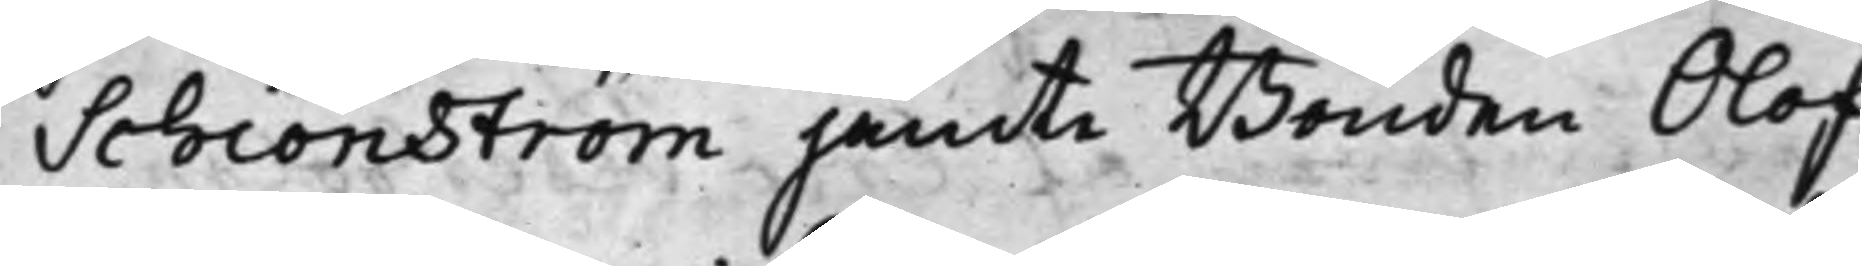Schiönström jämte Bonden Olof
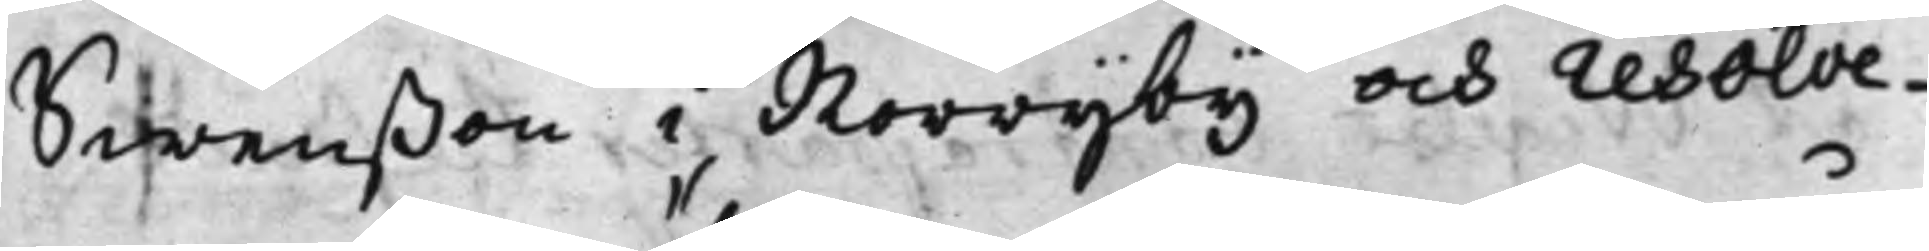Swenßon i Norrijby och resolve¬
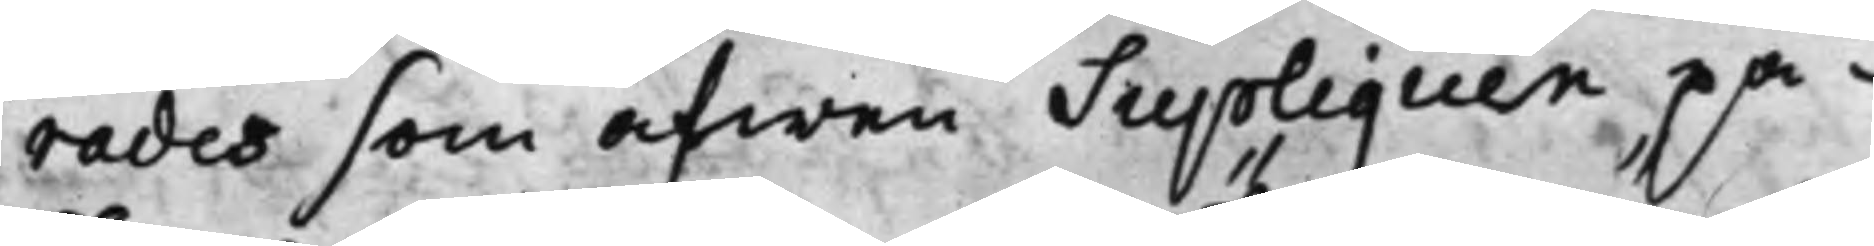rades som äfwen Suppliquen på¬
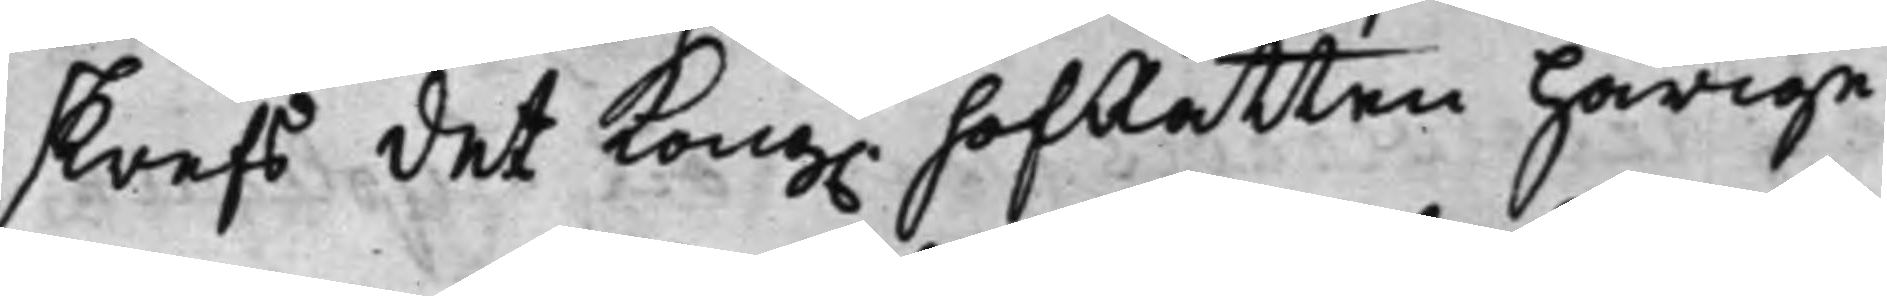skrefs, det Kong. HofRätten härige¬
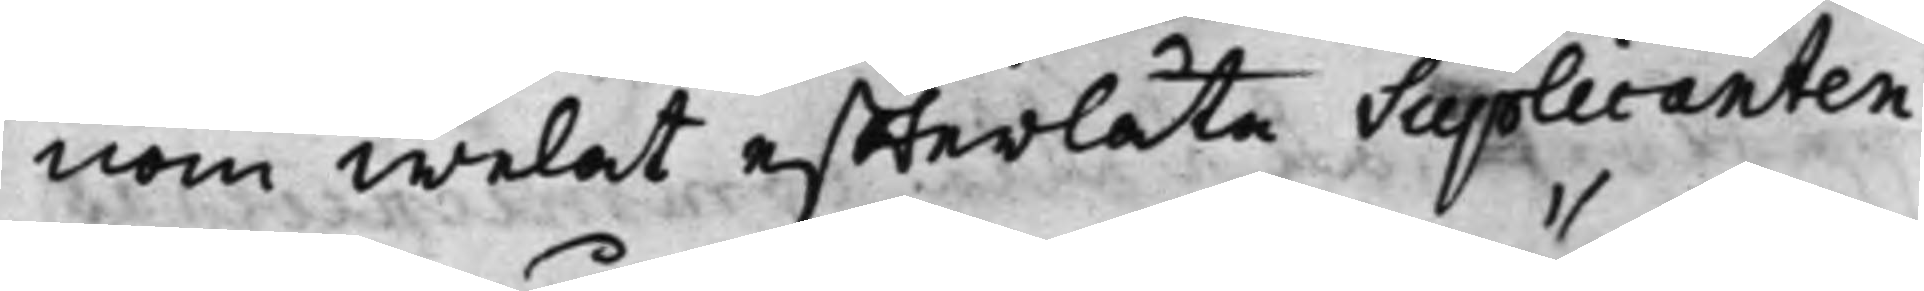nom welat effterlåta Supplicanten
